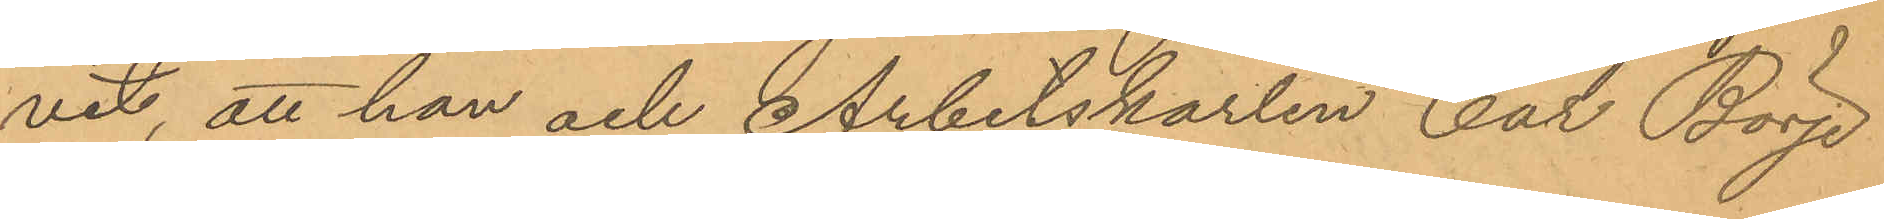vit, att han och Arbetskarlen Cal Börje
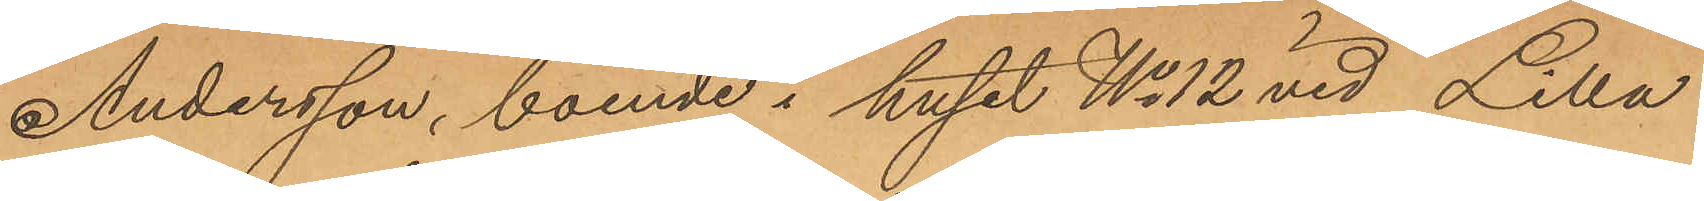Andersson, boende i huset No 12 vid Lilla
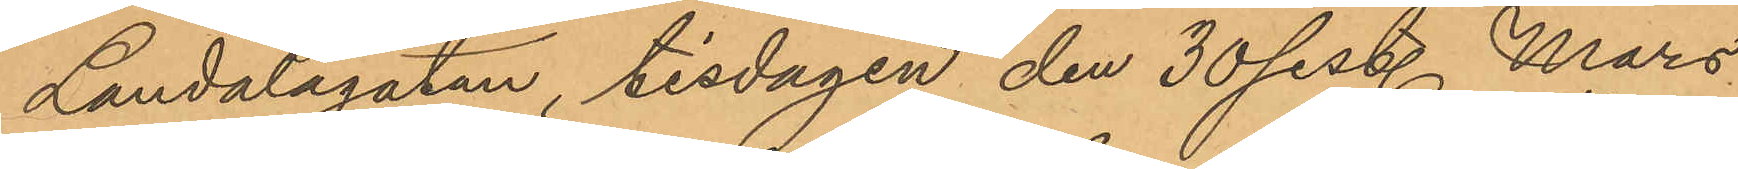Landalagatan, tisdagen den 30 sist. Mars
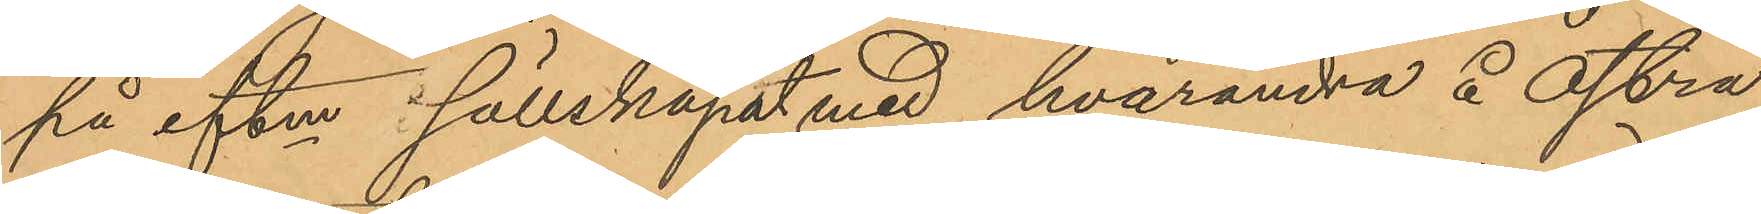på eftm i sällskapat med hvarandra å Östra
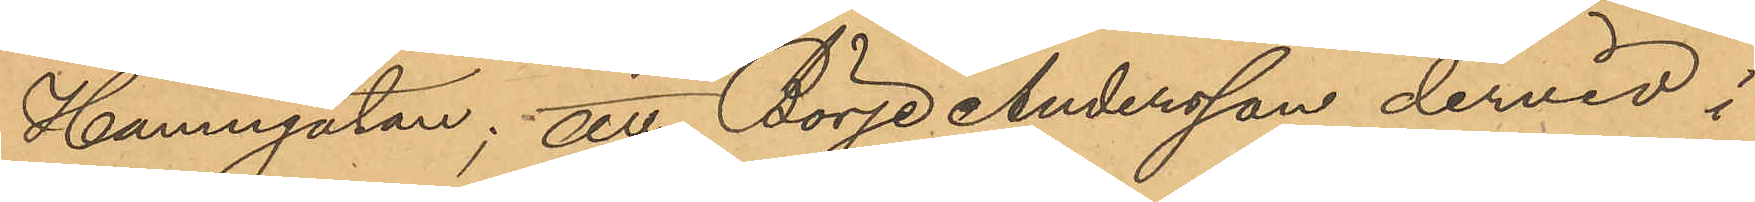Hamngatan; att Börje Andersson dervid i
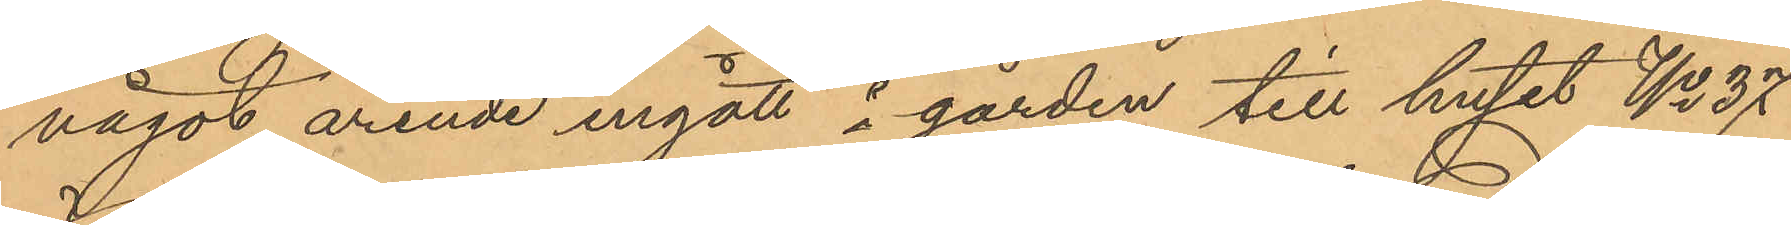något ärende ingått å gården till huset No 37
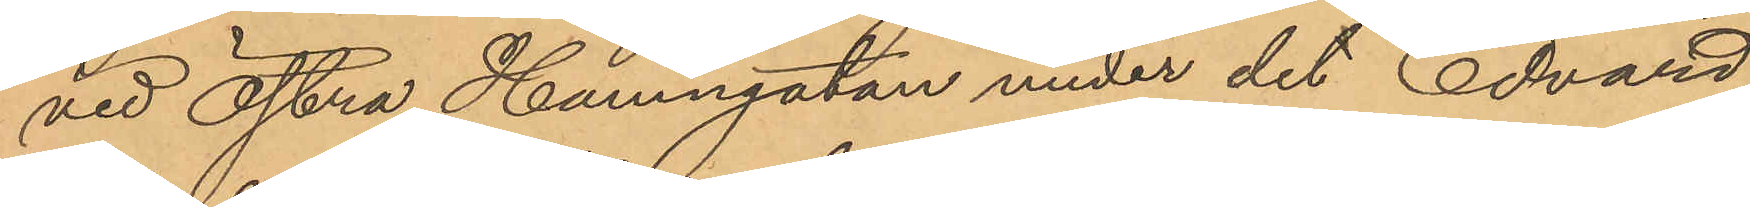vid Östra Hamngatan under det Edvard
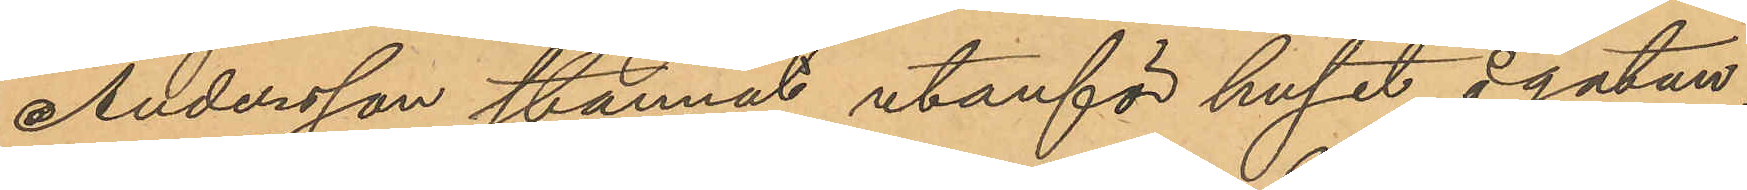Andersson stannat utanför huset å gatan;
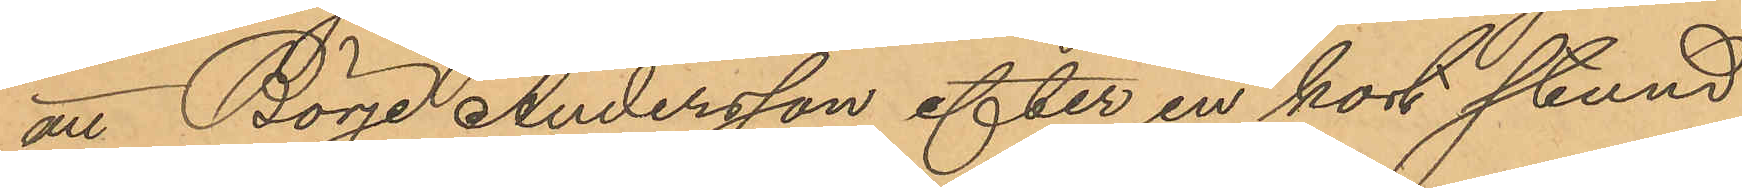att Börje Andersson efter en kort stund
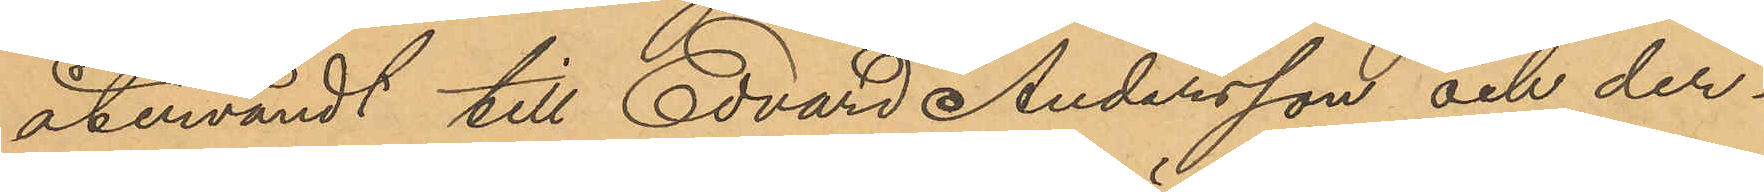återvändt till Edvard Andersson och der¬
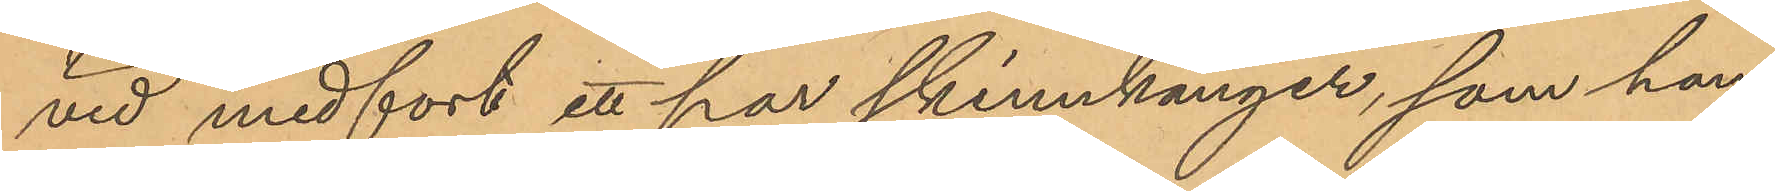vid medfört ett par skinnkänger, som han
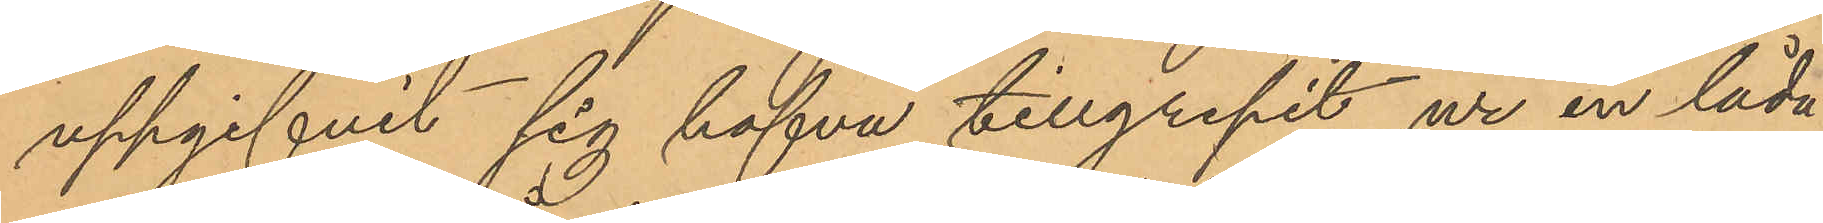uppgifvit sig hafva tillgripit ur en låda
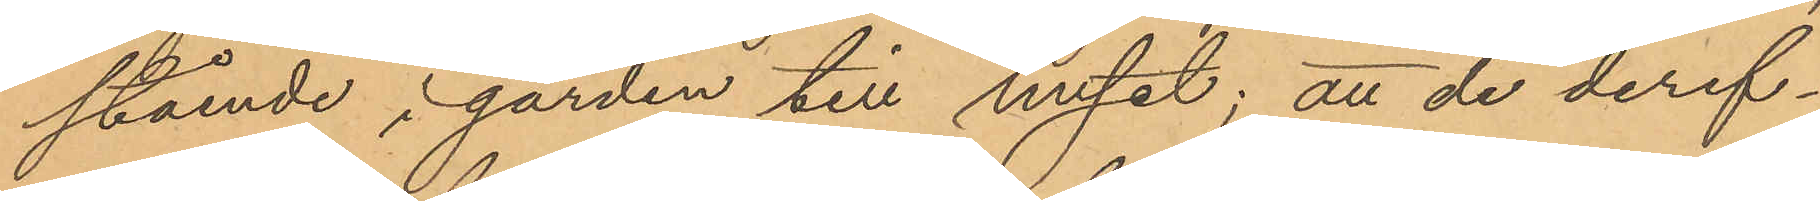stående i gården till huset; att de deref¬
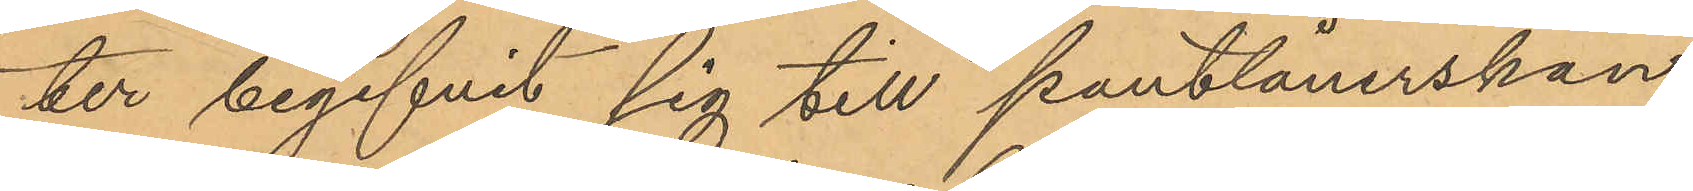ter begifvit sig till pantlånerskan
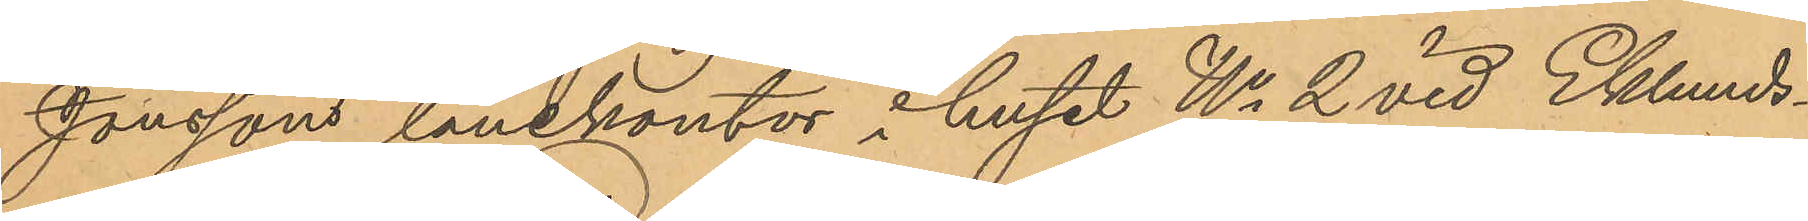Jonssons lånekontor i huset No 2 vid Eklunds¬
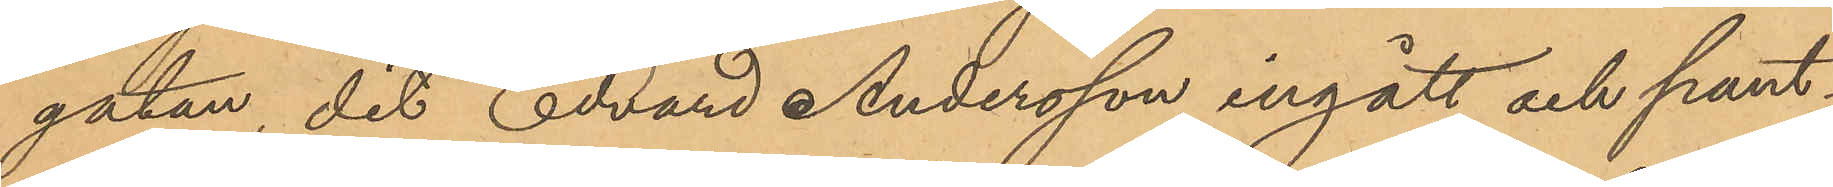gatan, dit Edvard Andersson ingått och pant¬
